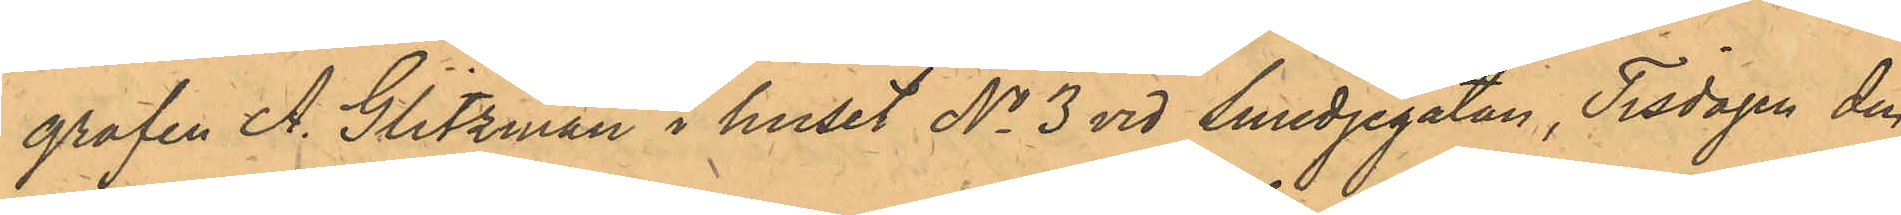grafen A. Glitzman i huset No 3 vid Smedjegatan, Tisdagen den
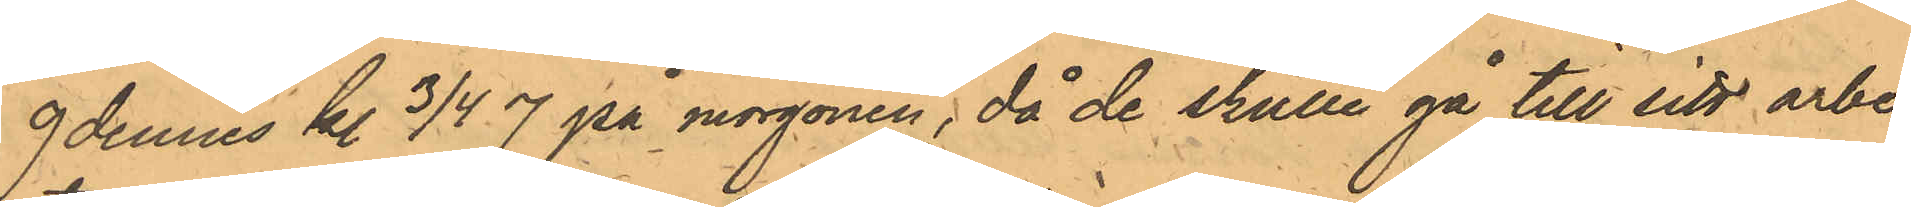9 dennes kl. 3/4 7 på morgonen, då de skulle gå till sitt arbe¬
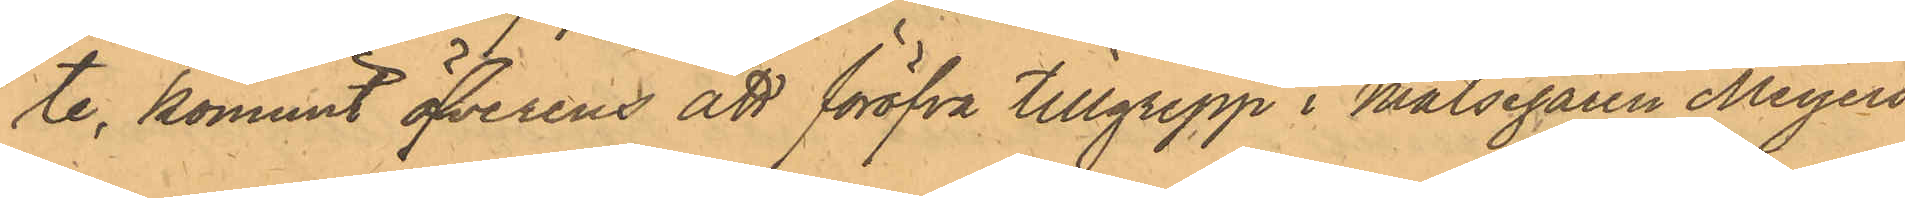te, kommit öfverens att föröfva i Målsegaren Meyers
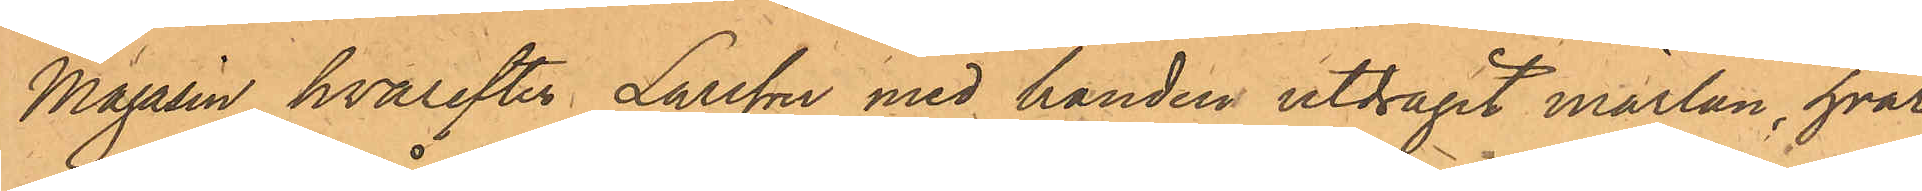Magasin hvarefter Larsson med handen uttagit märlan, hvar¬
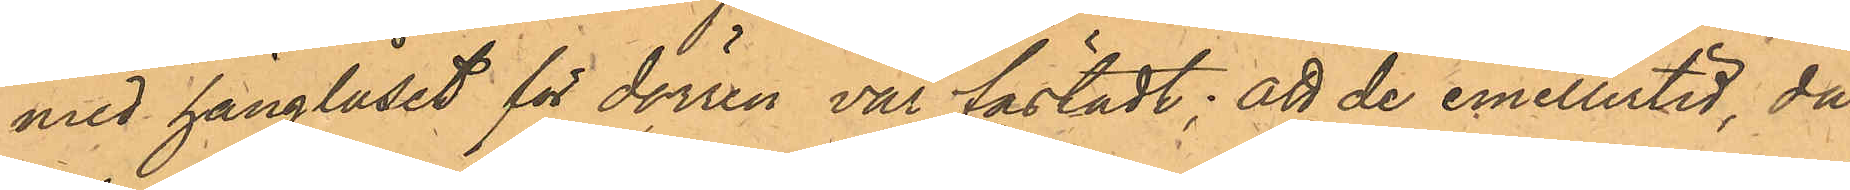med hänglåset för dörren var fästadt, att de emellertid, då
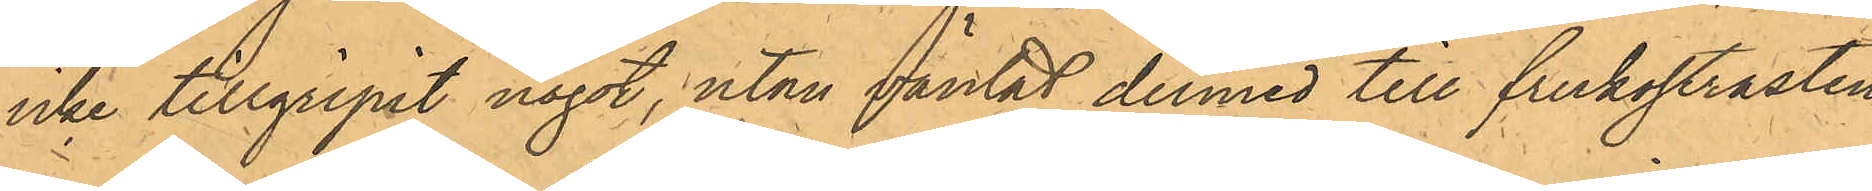icke tillgripit något, utan väntat dermed till frukostrasten
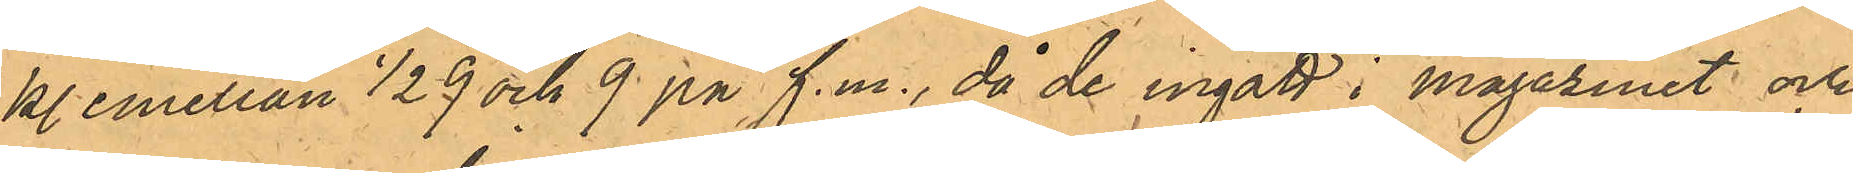kl. emellan 1/2 9 och 9 på f.m., då de ingått i magasinet och
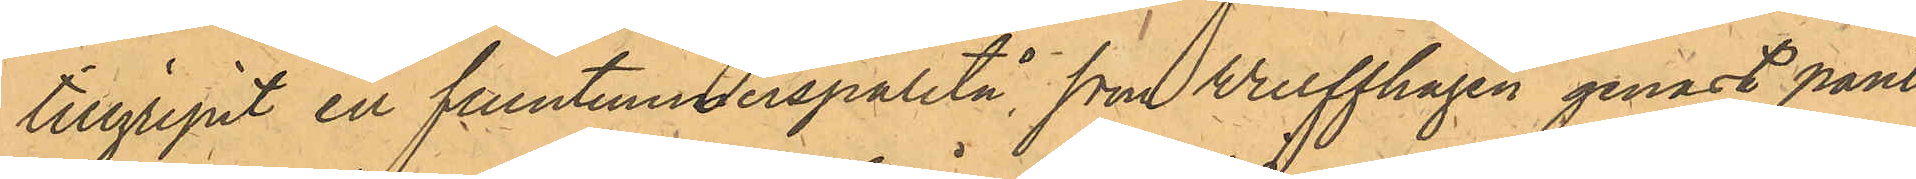tillgripit en fruntimmerspaletå, som Wulffhagen genast pant¬
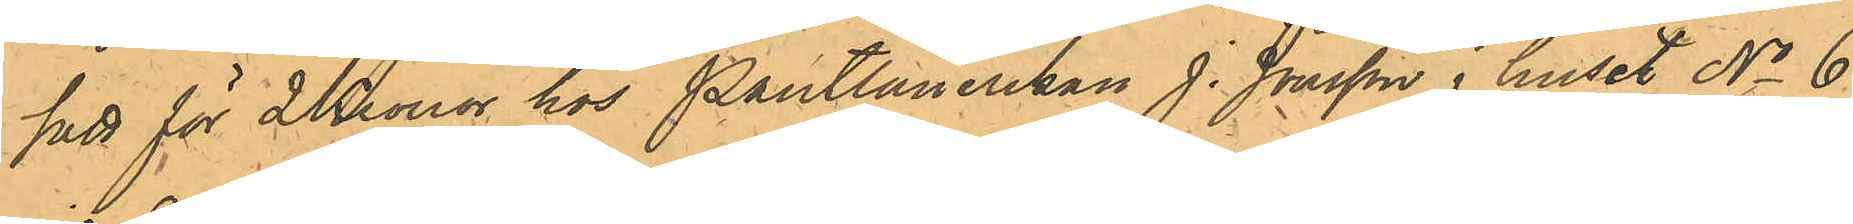satt för 2 Kronor hos Pantlånerskan J. Jonsson i huset No 6
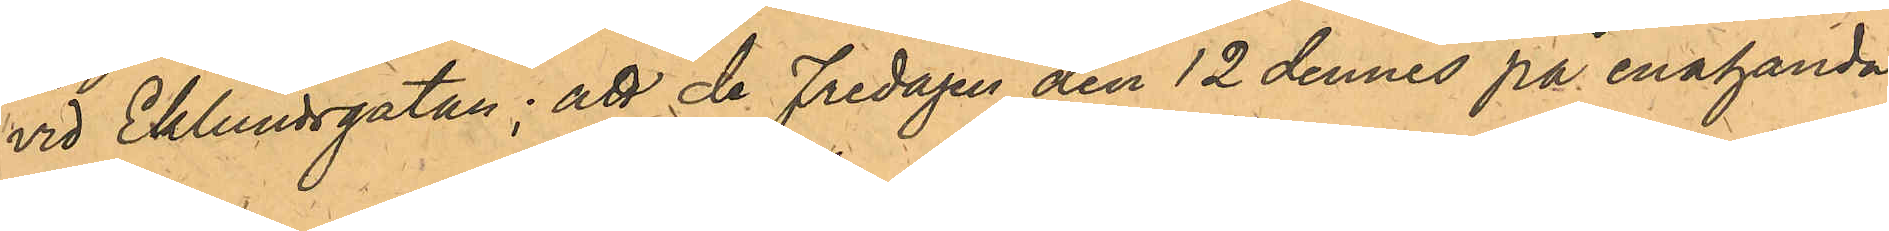vid Eklundsgatan; att de Fredagen den 12 dennes på enahanda
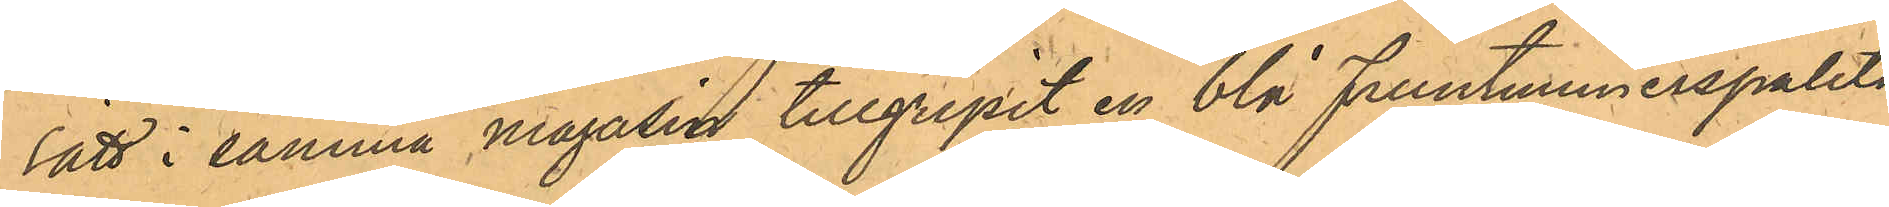sätt i samma magasin tillgripit en blå Fruntimmerspaletå,
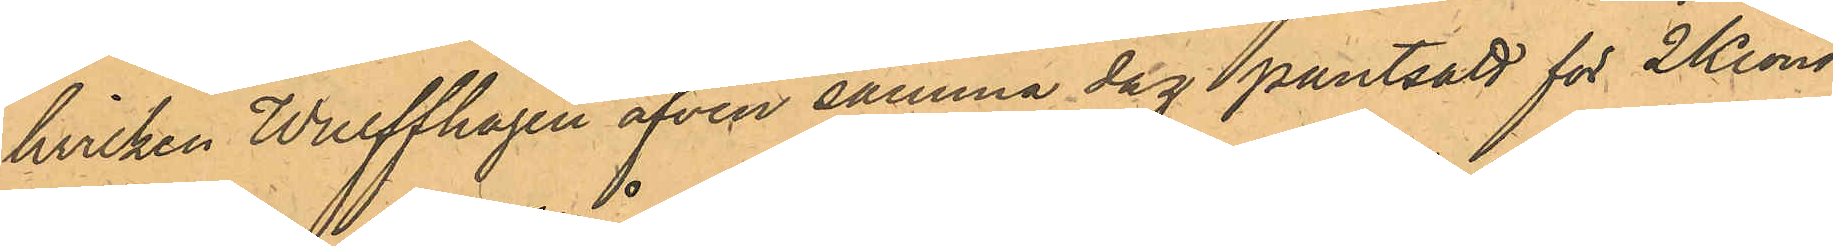hvilken Wulffhagen äfven samma dag pantsatt för 2 Kronor
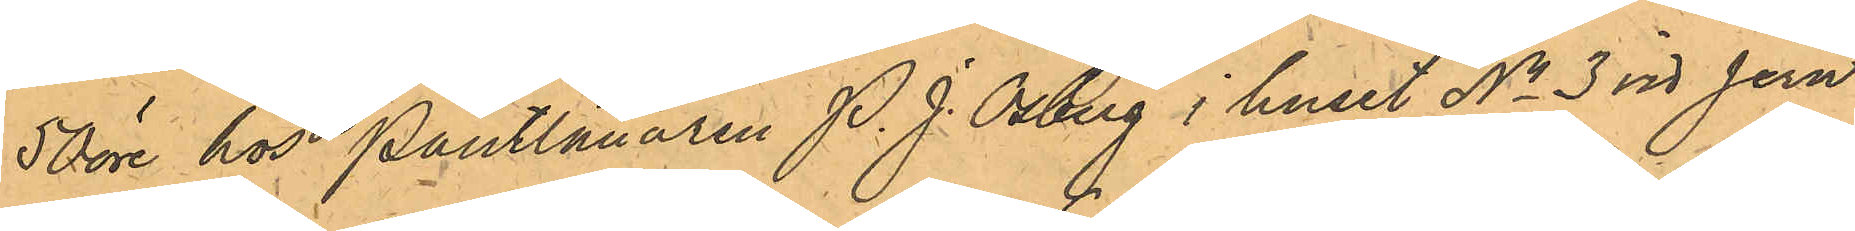50 öre hos Pantlånaren P. J. Osberg i huset No 3 vid Jern¬
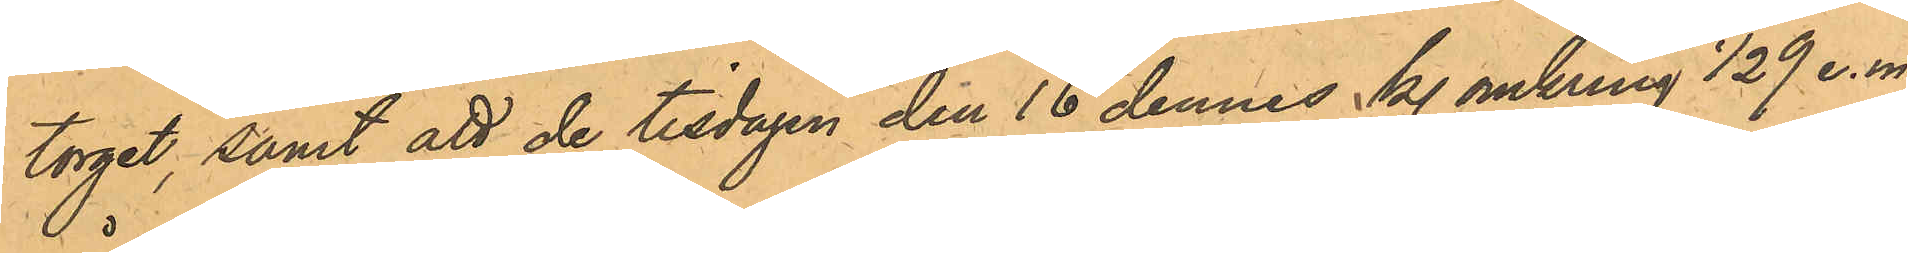torget, samt att de tisdagen den 16 dennes kl. omkring 1/2 9 e.m.
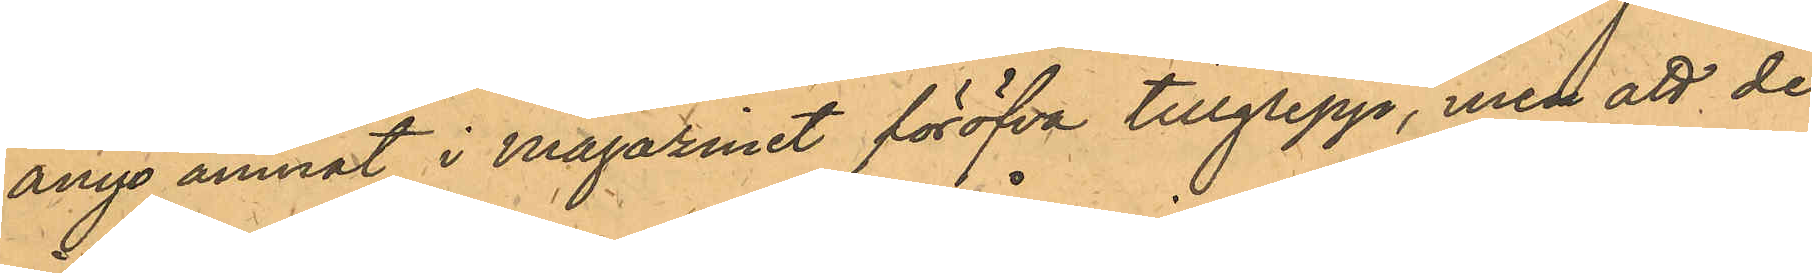ånyo ämnat i Magazinet föröfva tillgrepp, men att de
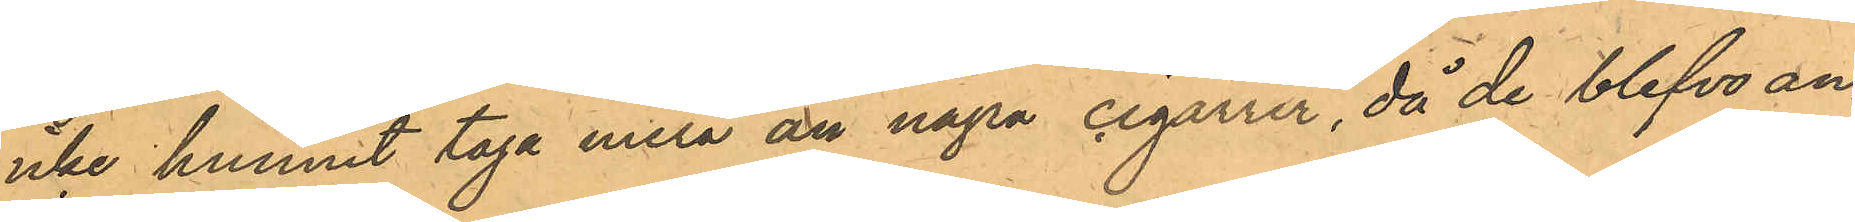icke hunnit taga mera än några cigarrer, då de blefvo an¬
